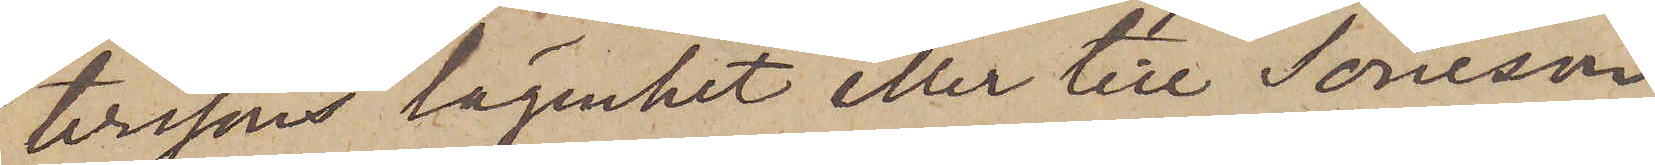terssons lägenhet eller till Soneson
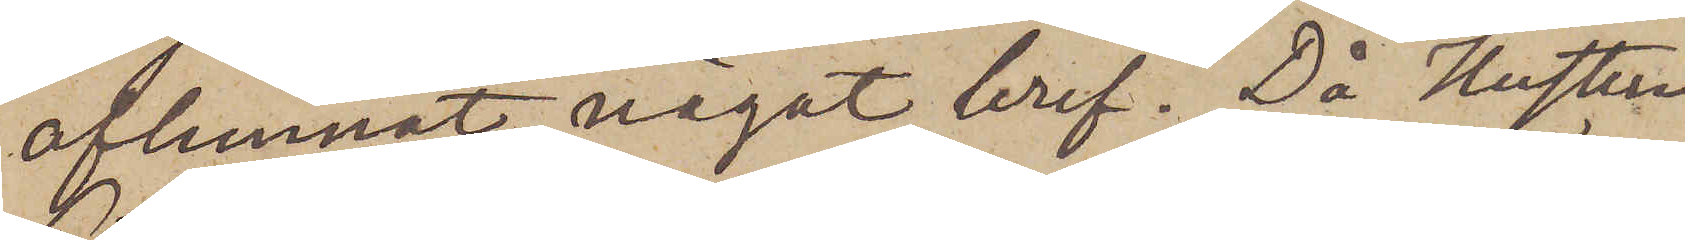aflemnat något bref. Då Hustrun
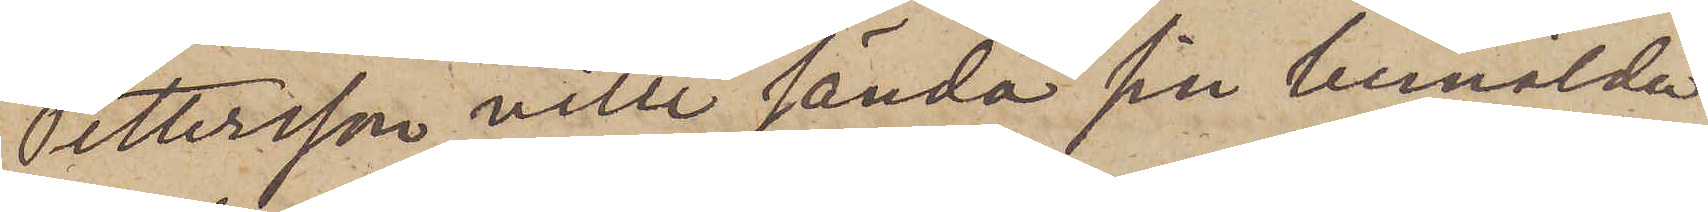Pettersson ville sända sin bemälda
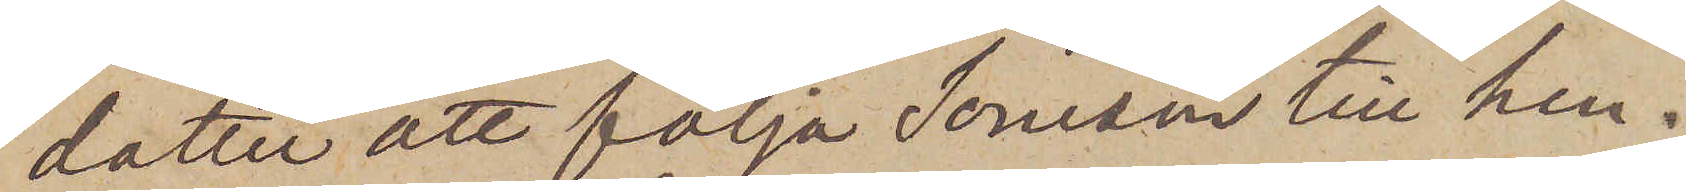dotter att följa Soneson till hen¬
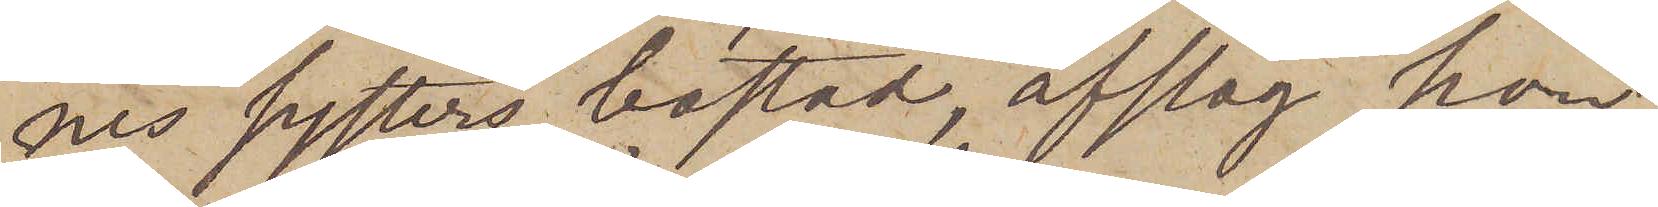nes systers bostad, afslog hon
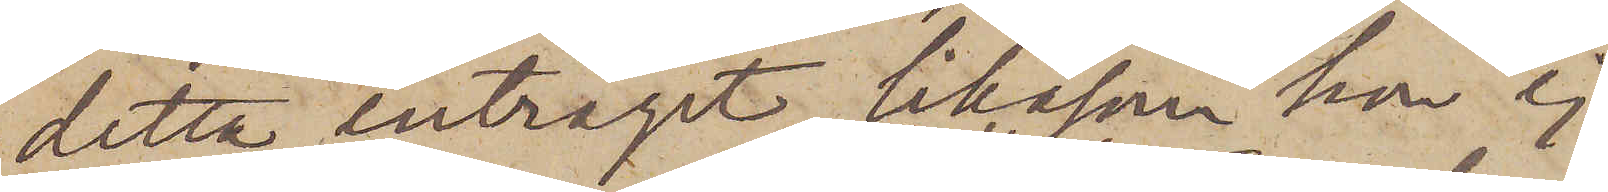detta enträget, likasom hon ej
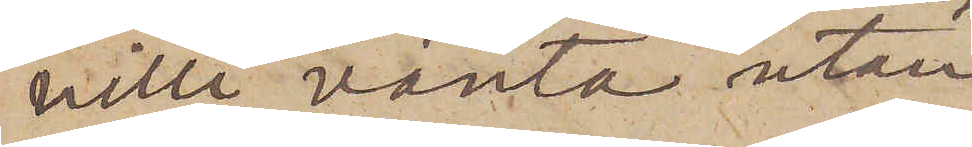ville vänta utan
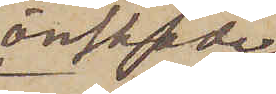önskade
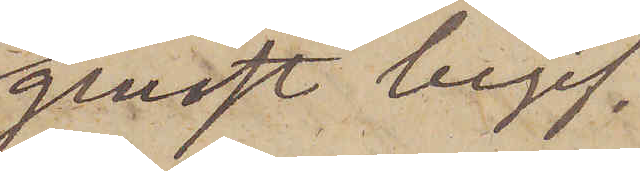genast begif¬
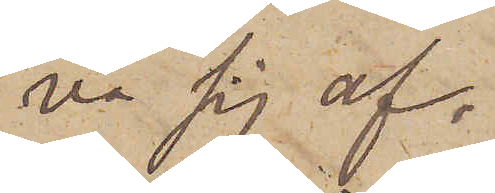va sig af.
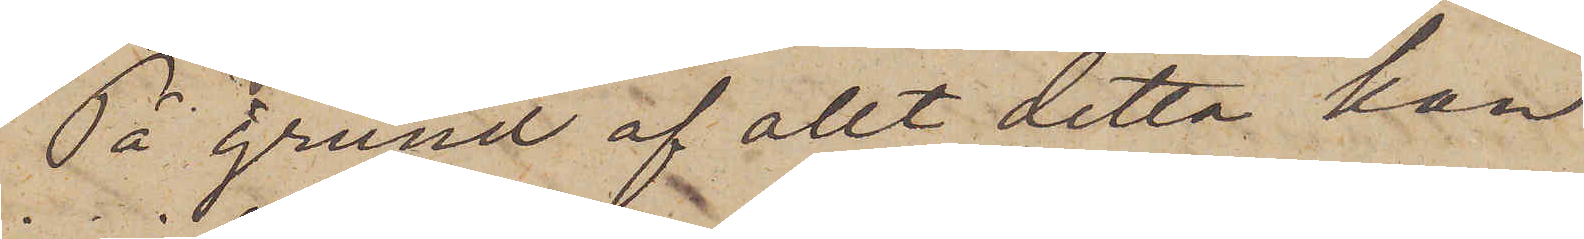På grund af allt detta kan
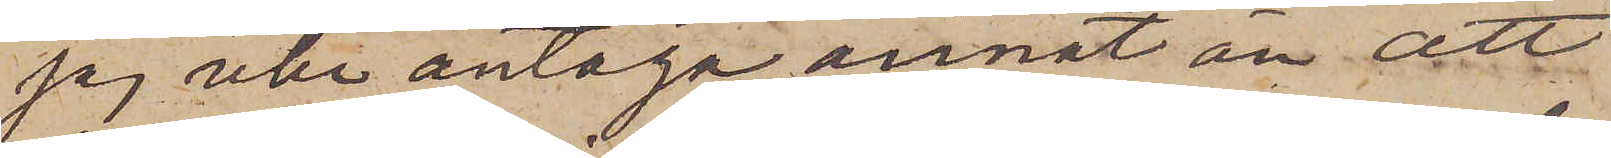jag icke antaga annat än att
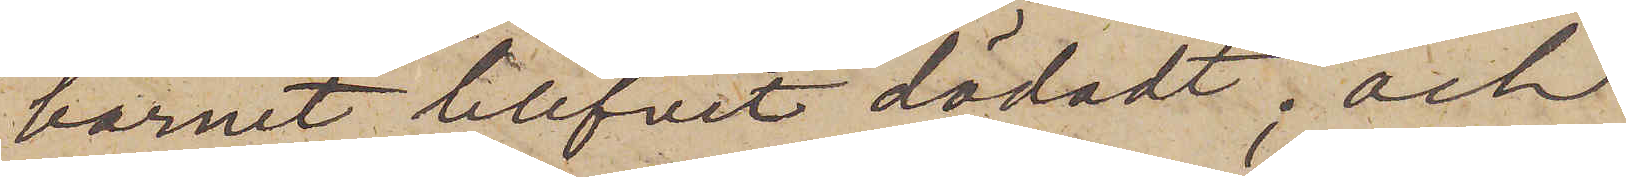barnet blifvit dödadt; och
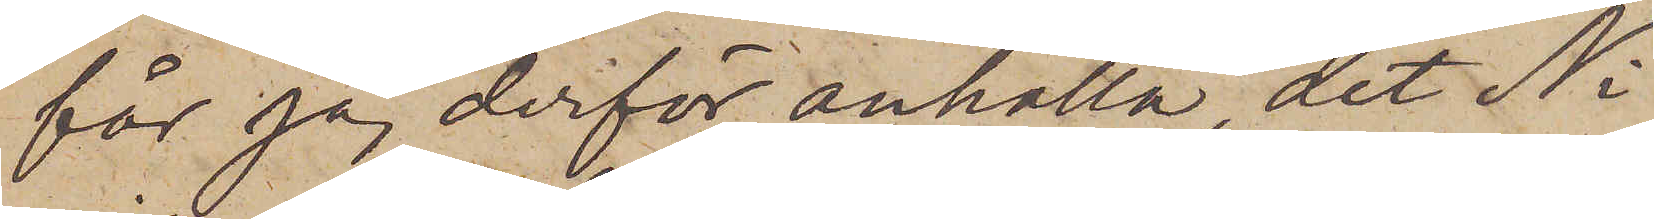får jag derför anhålla, det Ni
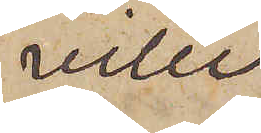ville
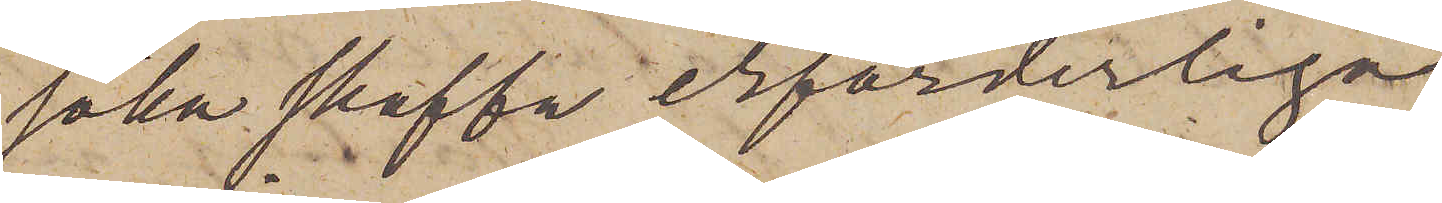söka skaffa erforderliga
